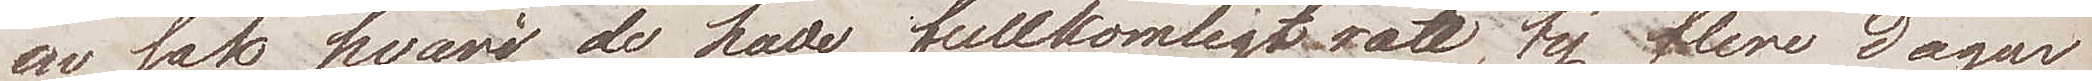en sak hvari de hade fullkomligt rätt, ty flere dagar
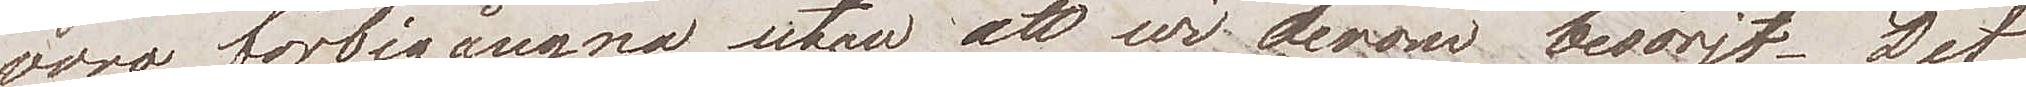voro förbigångna utan att vi derom besörjt. Det
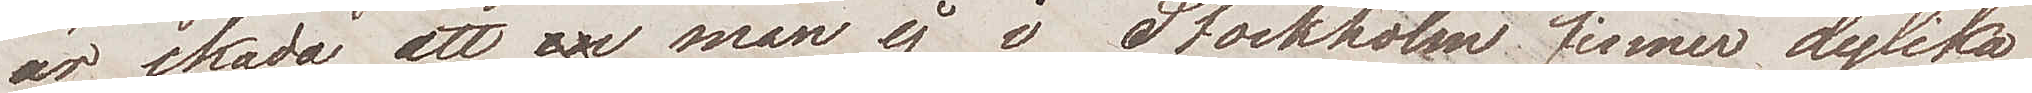är skada att man ej i Stockholm finner dylika
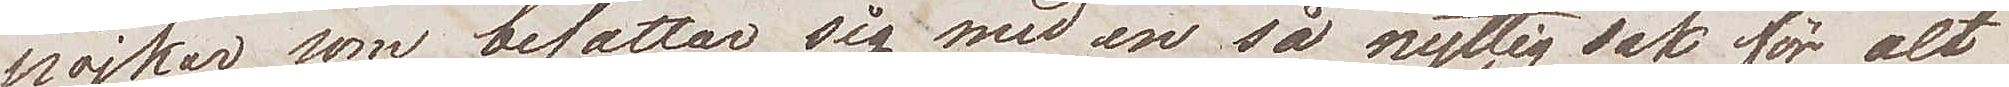pojkar som befattar sig med en så nyttig sak för alt
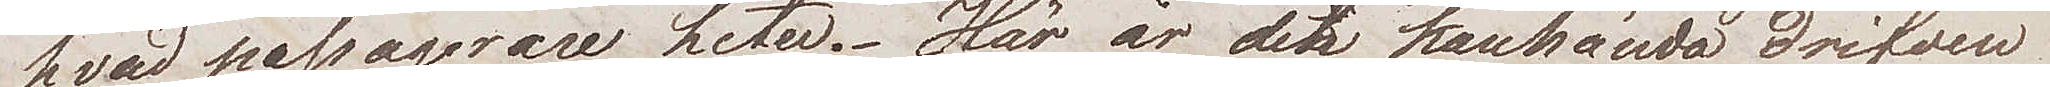hvad passagerare heter. Här är den kanhända drifven
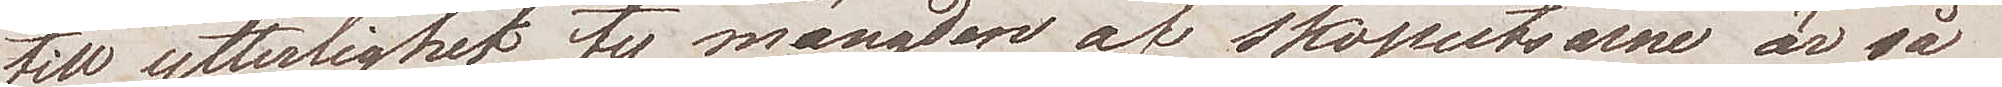till ytterlighet, ty mängden af skoputsarne är så
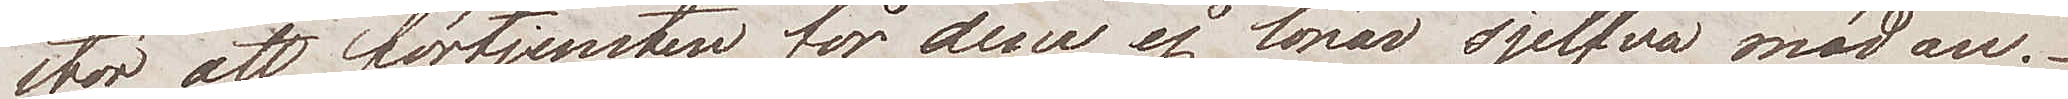stor att förtjensten för dem ej lönar sjelfva mödan.
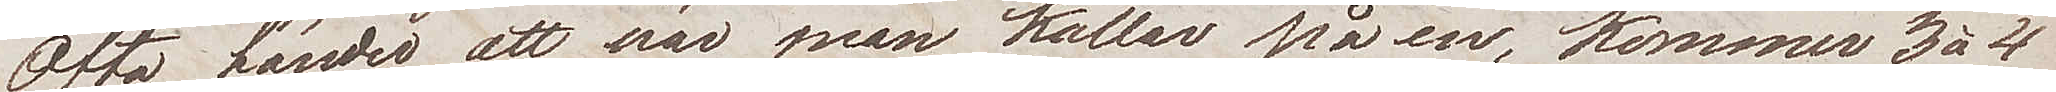Ofta händer att när man kallar på en, kommer 3 à 4
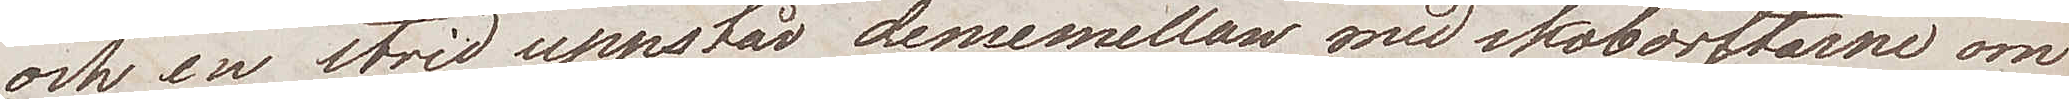och en strid uppstår dememellan med skoborstarne om
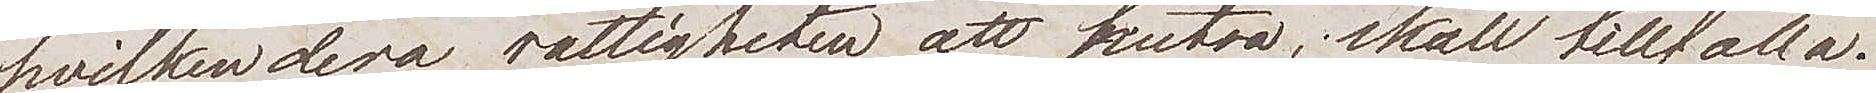hvilkendera rättigheten att putsa skall tillfalla.
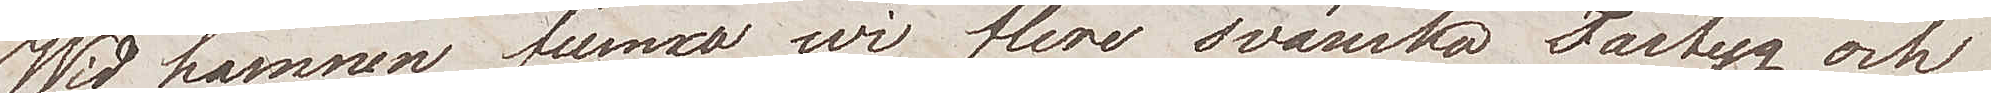Wid hamnen funno wi flere svänska Fartyg och
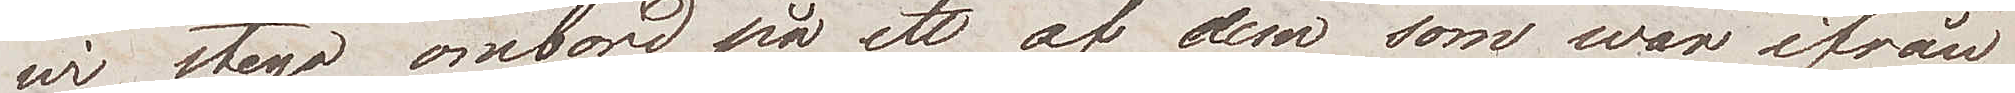wi stego ombord på ett af dem somwvar ifrån
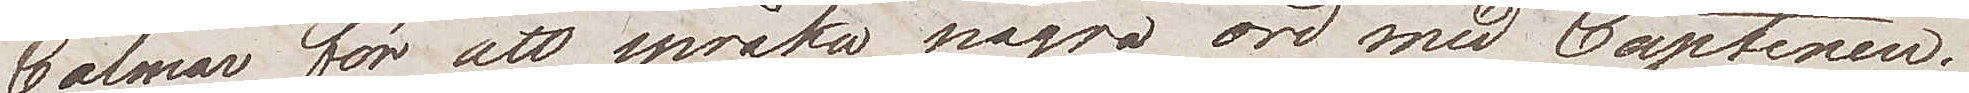Calmar, för att språka några ord med Captenen.
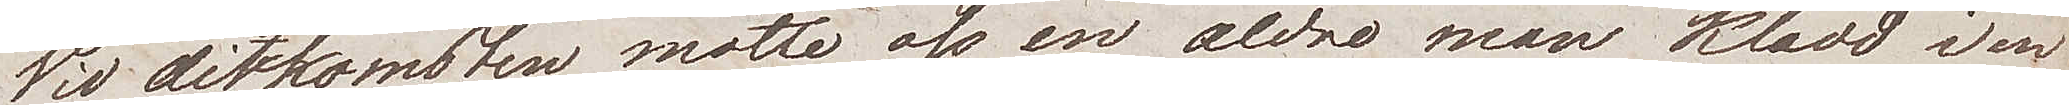Wid ditkomsten, mötte oss en äldre man klädd i en
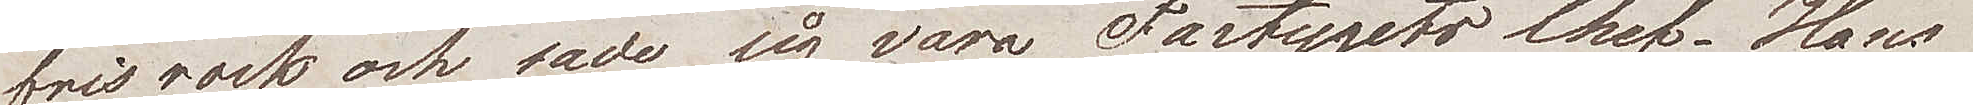frisrock och sade sig vara Fartygets Chef. Hans
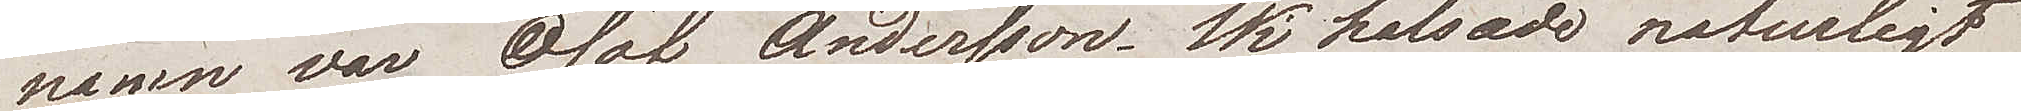namn var Olof Andersson. Wi hälsade naturligt
